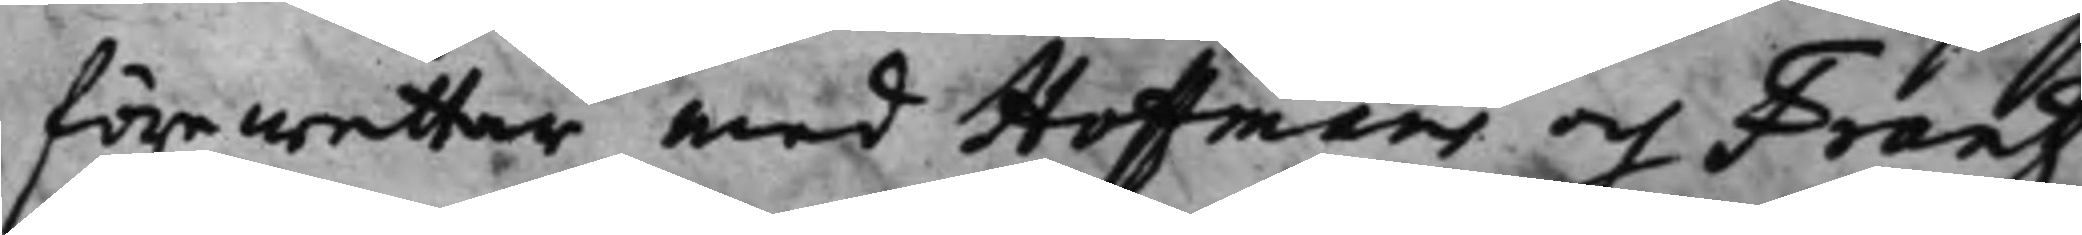förewettar, med Hoffmans och Frantz
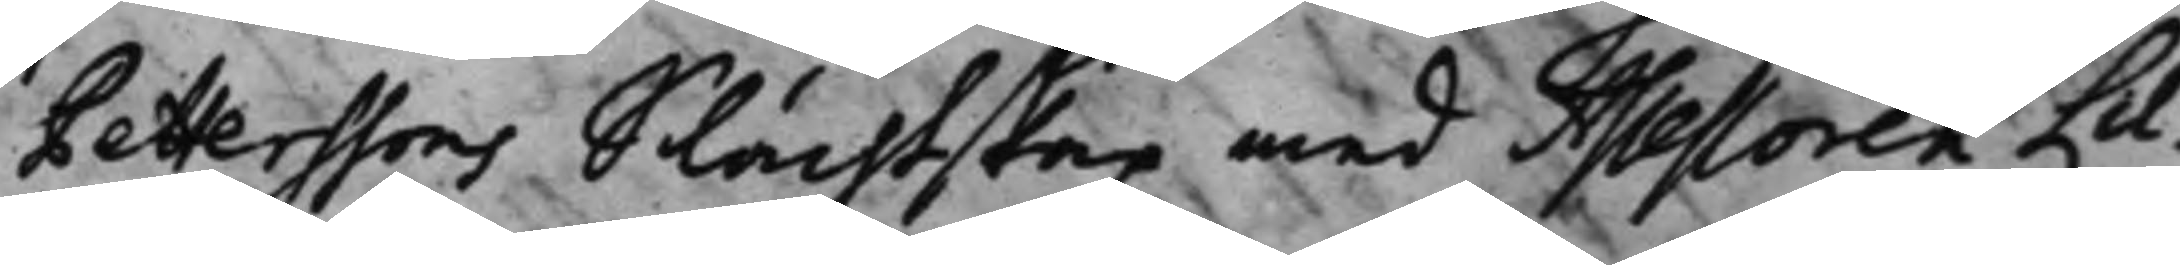Petterssons Slächtskap med Assessoren Lil¬
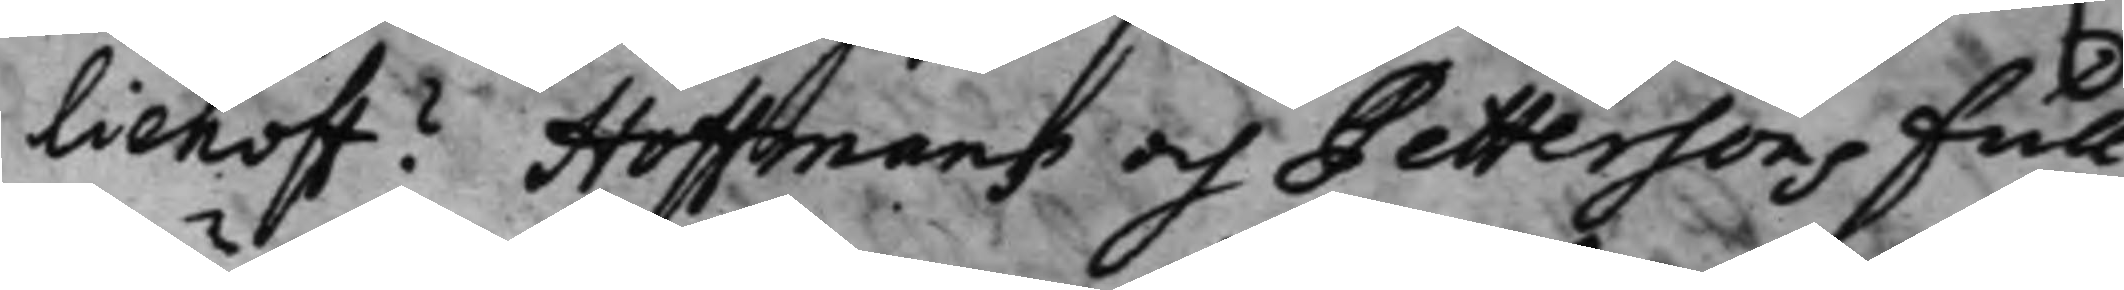liehoff? Hoffmans och Pettersons full¬
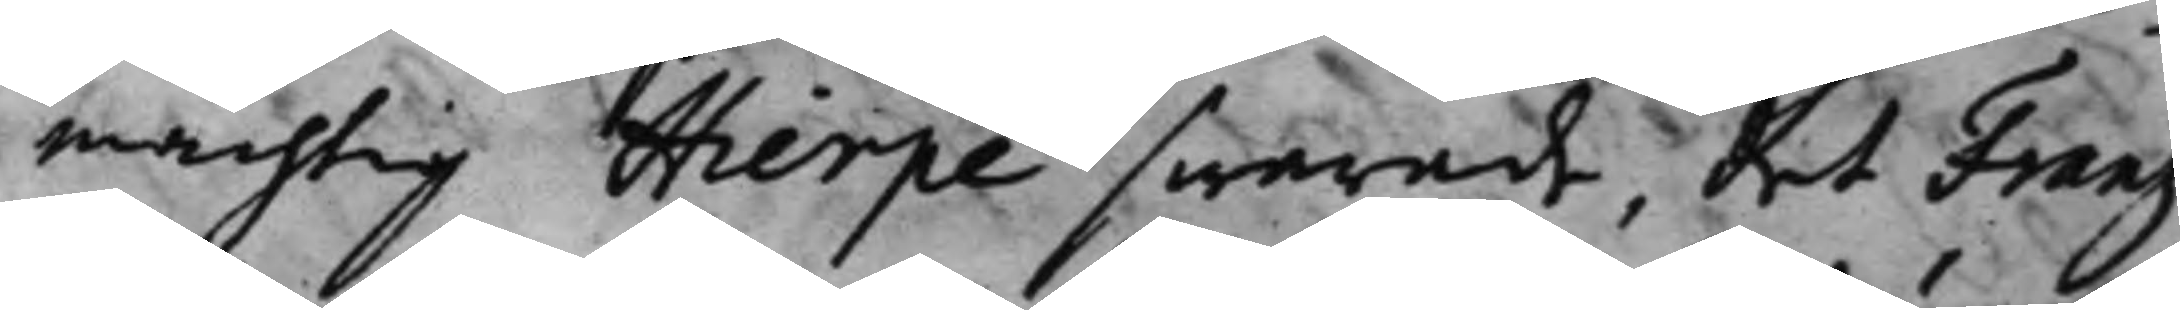mächtig Hierpe swarade, det Frantz
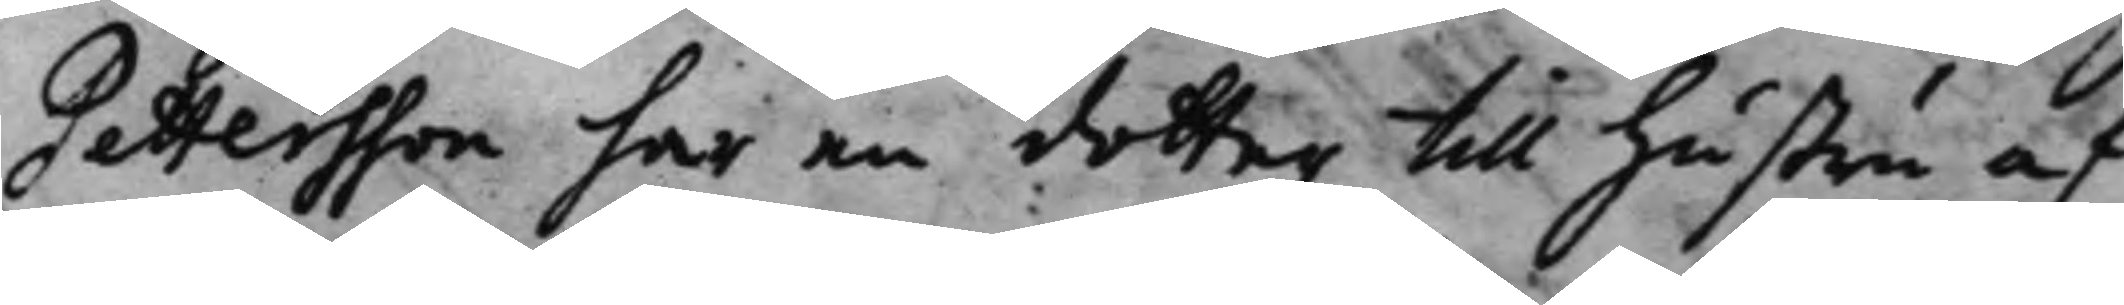Pettersson har en dotter till hustru af
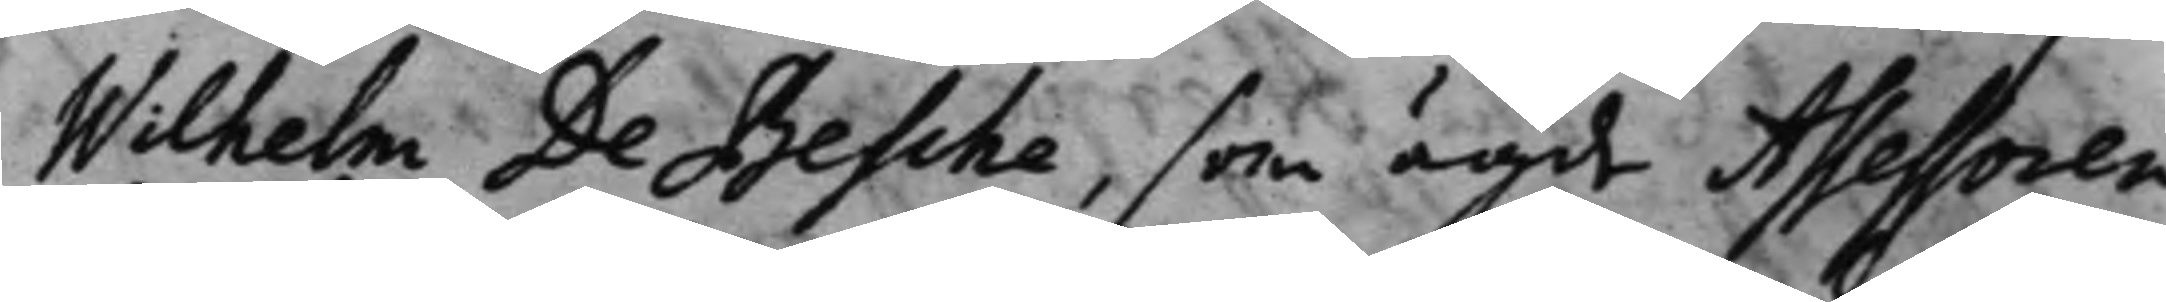Wilhelm De Besche, som ägde Assessoren
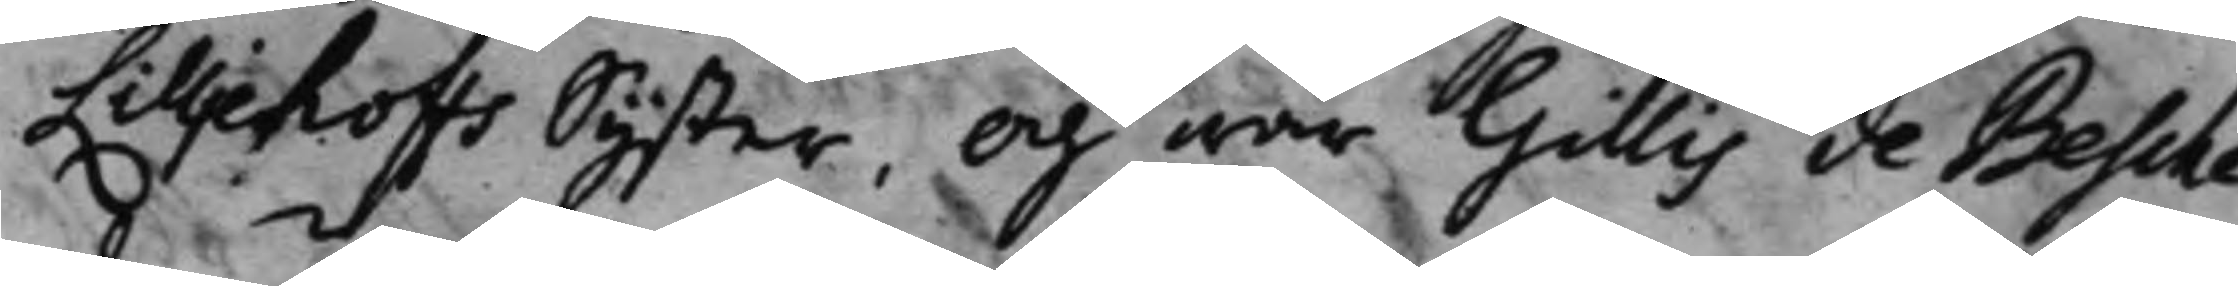Lilljehoffs syster, Och war Gillis de Besche
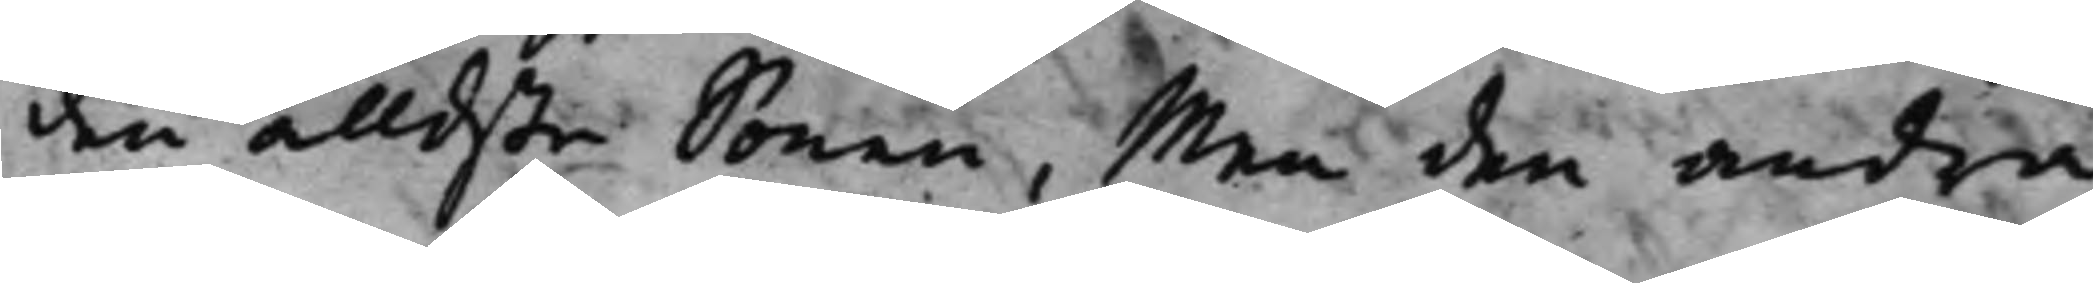den älldste Sonen, Men den andra
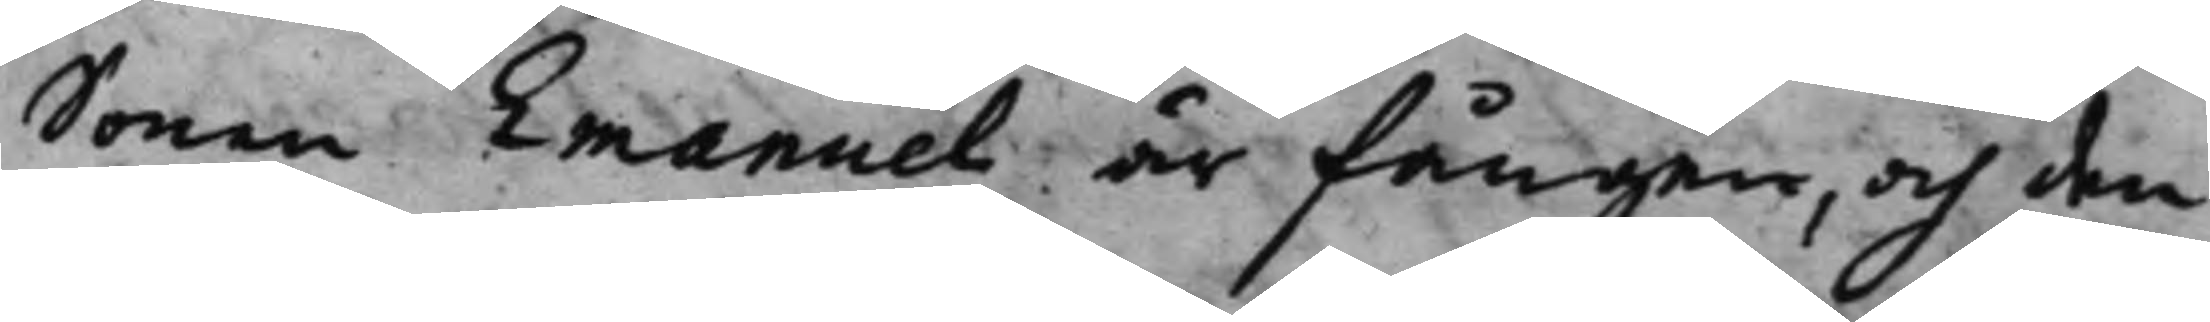Sonen Emanuel är fången, och den
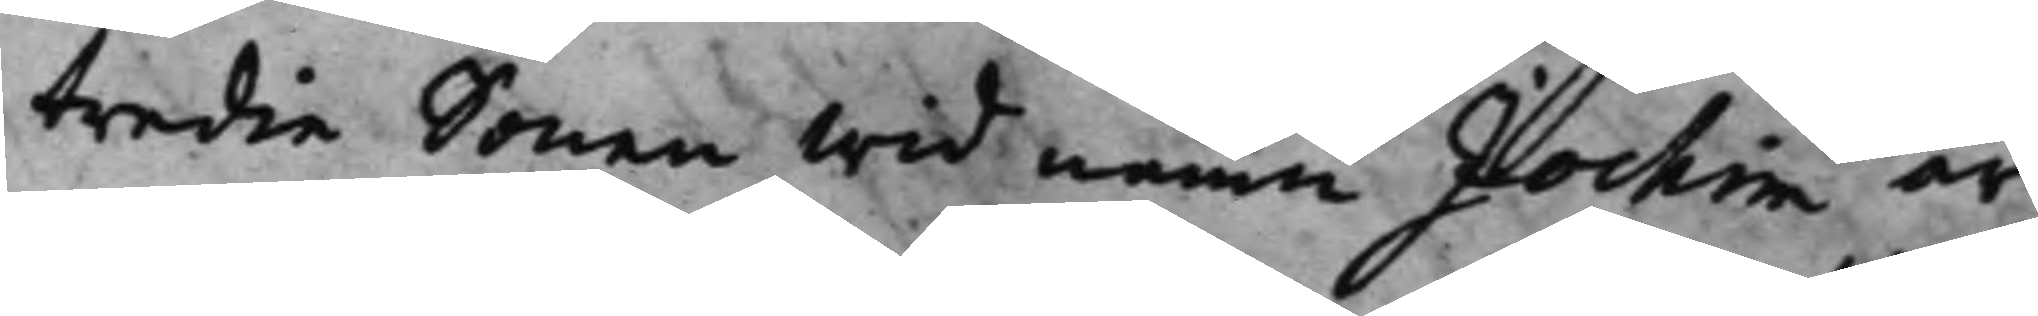tredie Sonen wid namn Jochim är
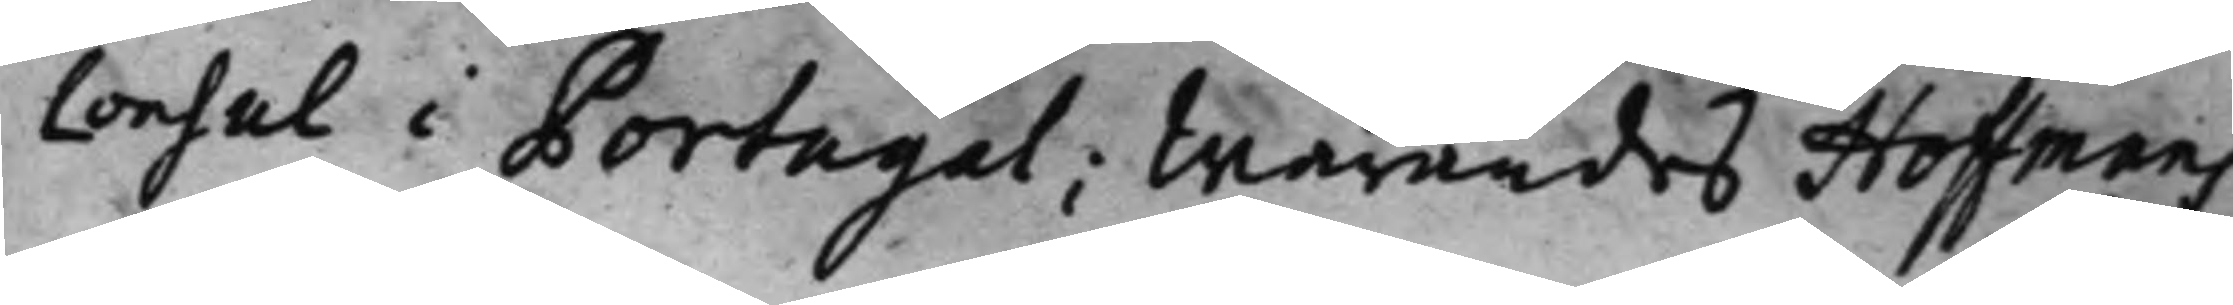Consul i Portugal; Warandes Hoffmans
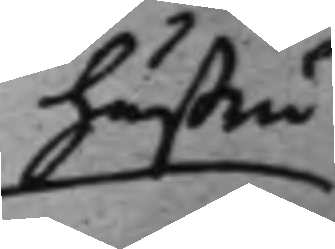hustru
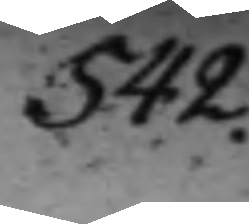542.
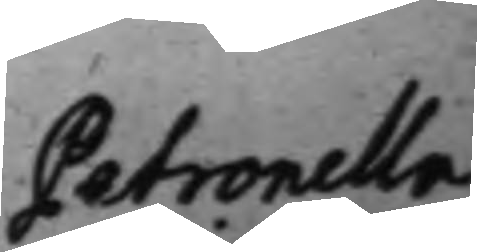Petronella
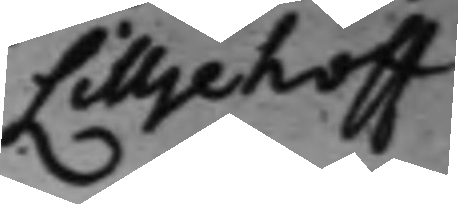Lilljehoff
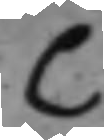C
